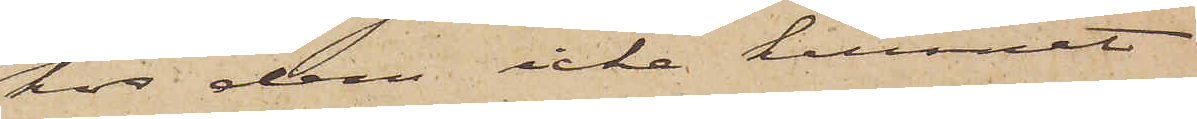hos dem icke kunnat
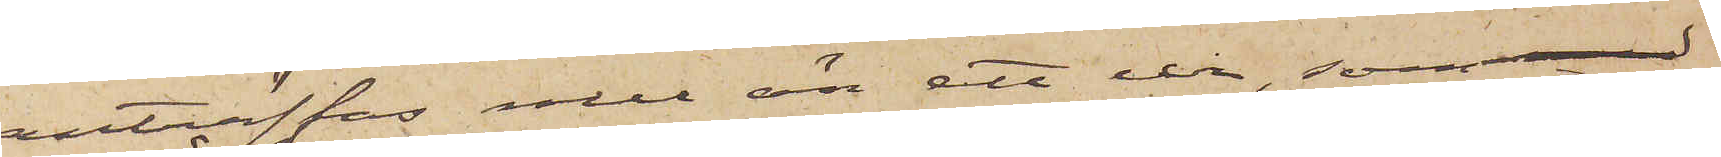anträffas mer än ett ur, som
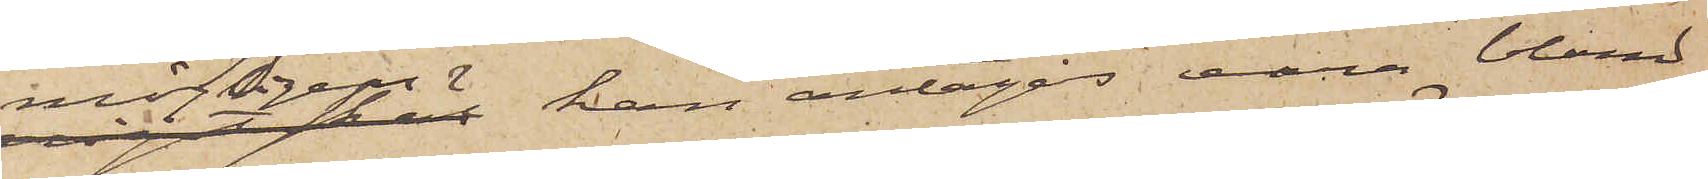möjligen kan antagas vara bland
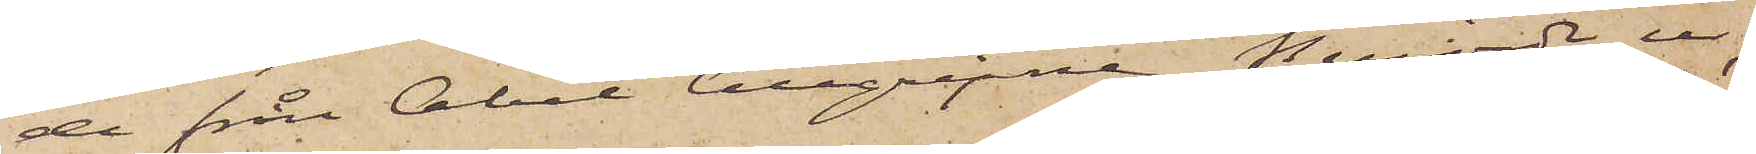de från Abel tillgripne berörde ur,
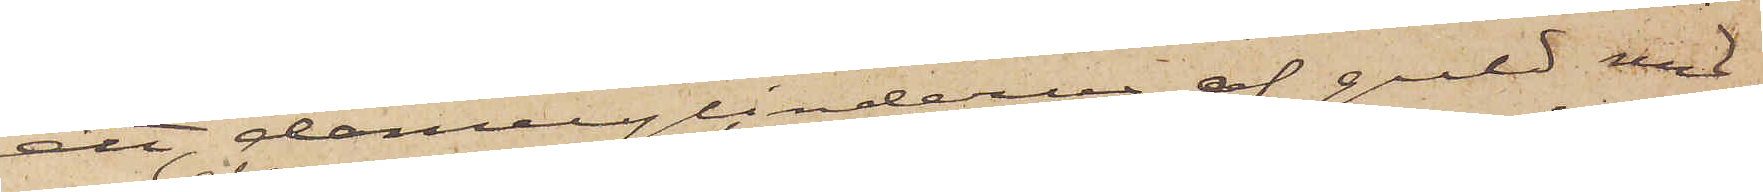ett damecylinderur af guld med
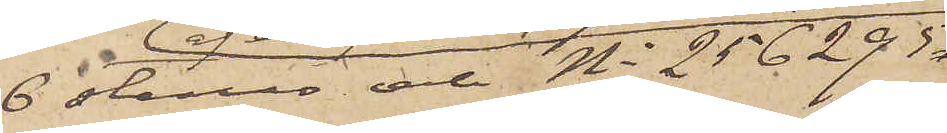6 stenar och No 256295
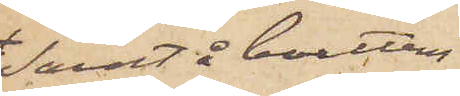samt å boettens
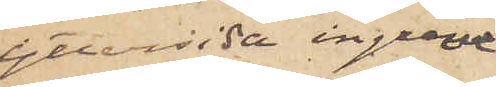yttersida ingrave¬
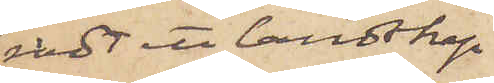radt ett landskap
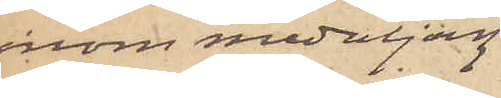inom medaljong
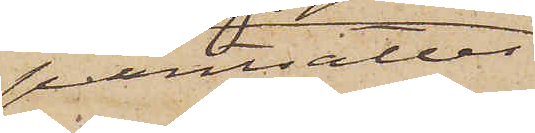pantsattes
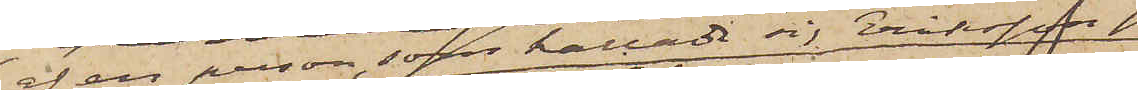af en person som kallade sig Eriksson
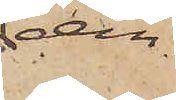 den
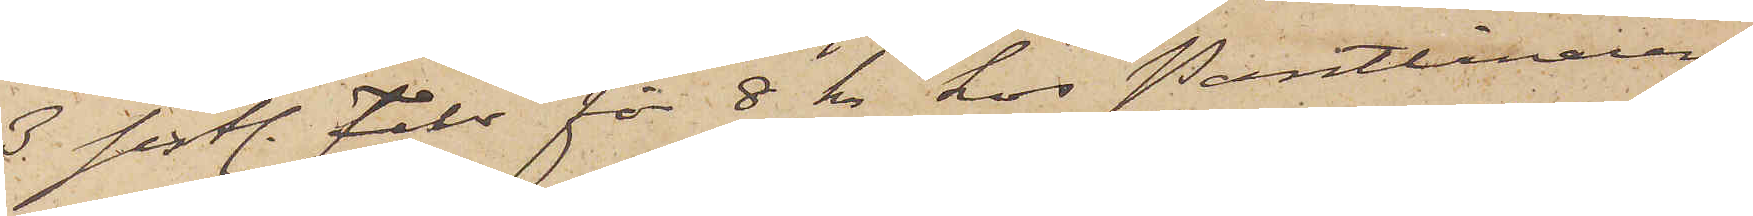3 sistl. Febr. för 8 kr. hos Pantlånaren
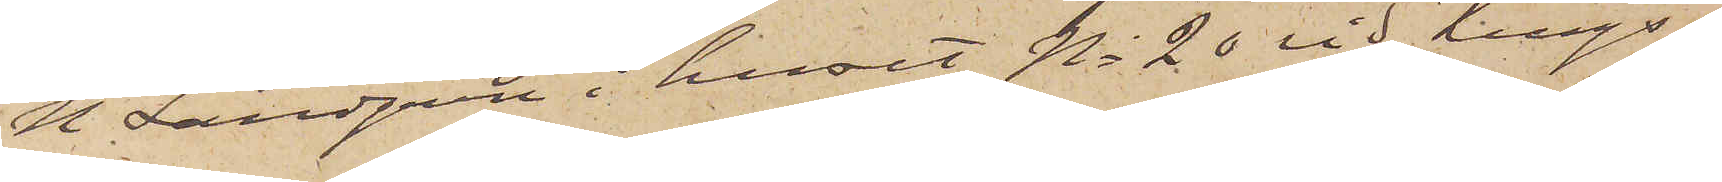N. Landgren i huset No 20 vid Kungs¬
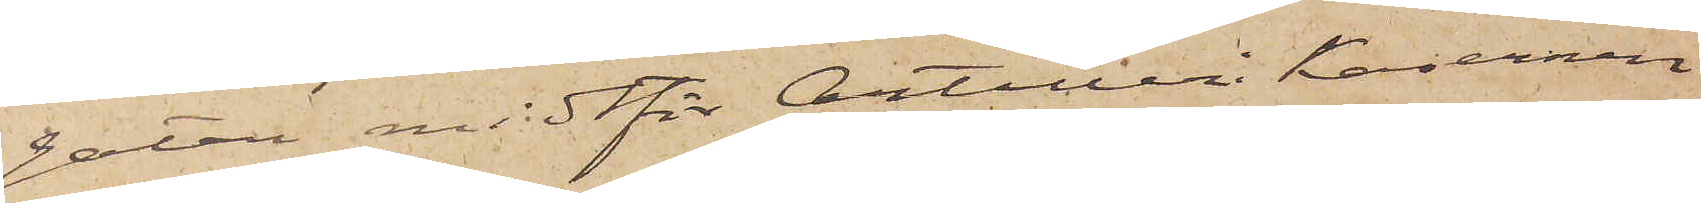gatan midtför Artilleri kasernen
